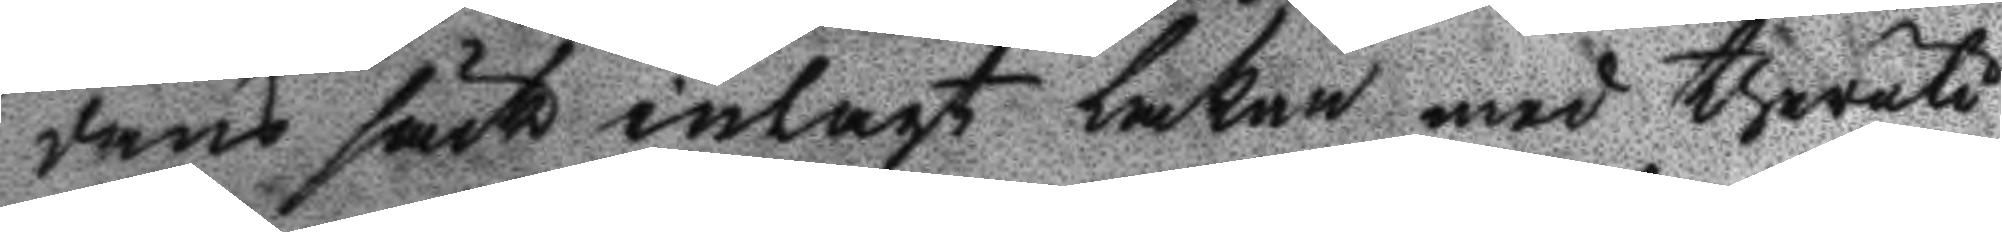dans säck inlagt Lakan med theruti
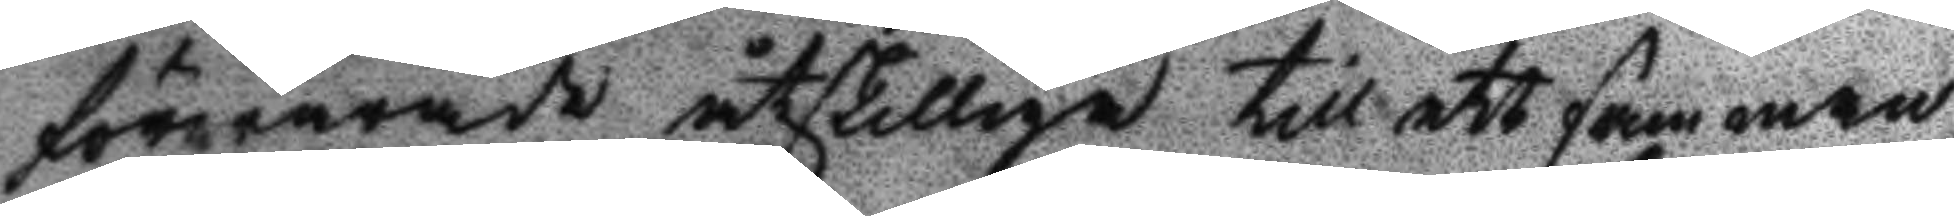förwarade åtskilliga till ett samman¬
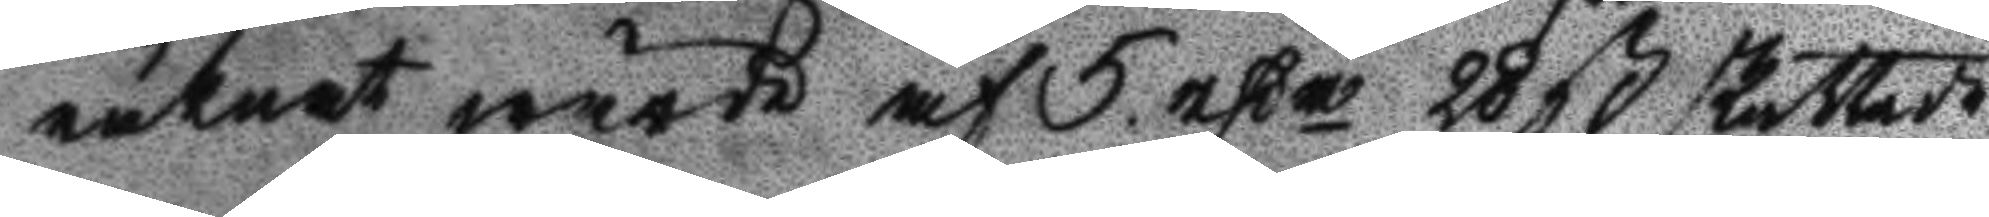räknat wärde af 5 rßr 28 ß skattade
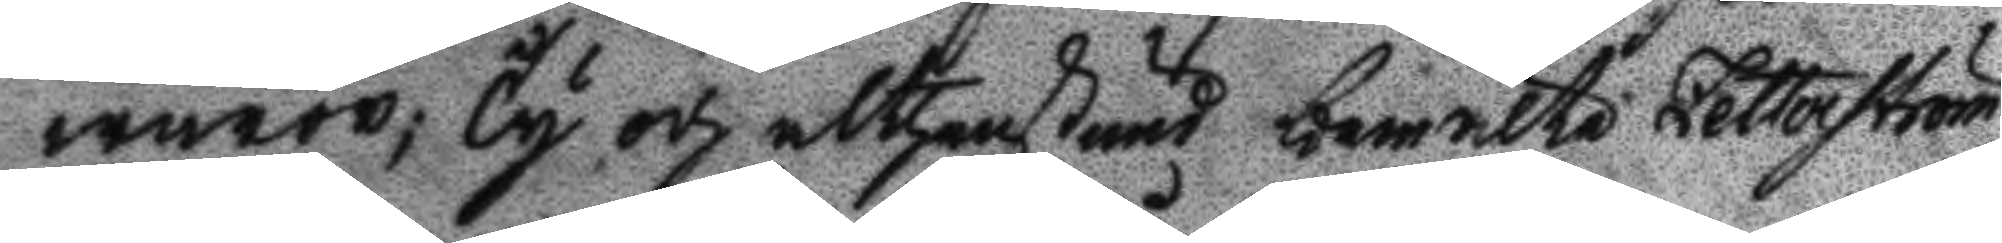waror, Ty och althenstund bemälte Zetterström
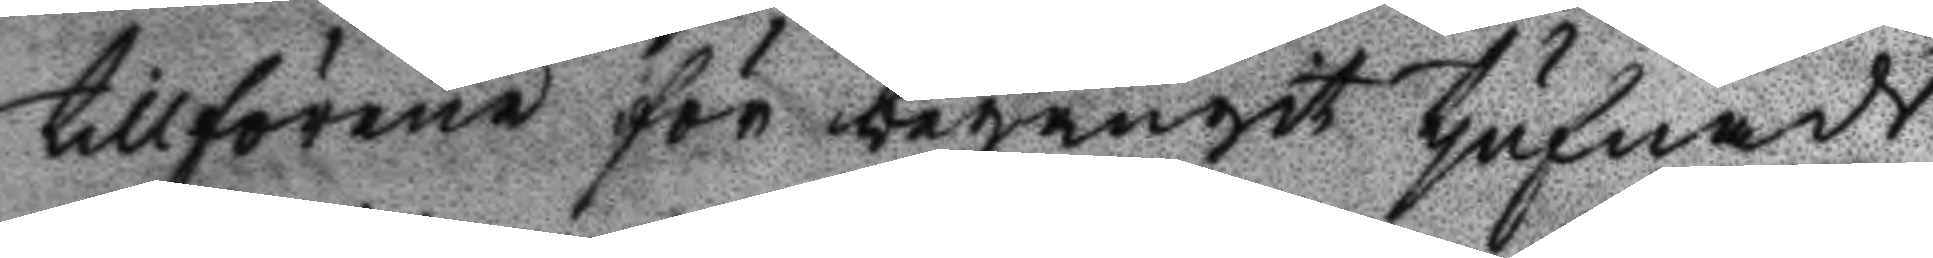tillförene för begångit tjufnads
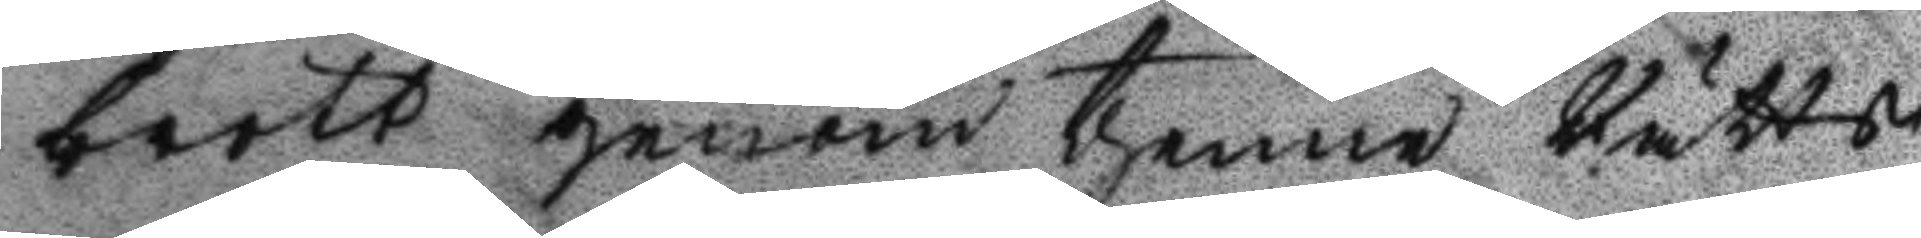brott genom thenne Rätts
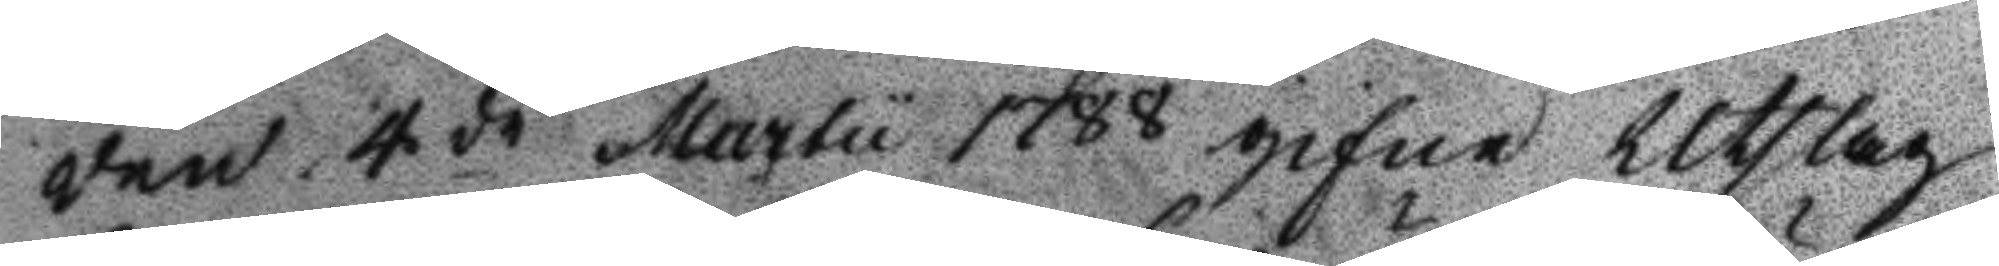den 4de Martu 1788 gifne Utslag
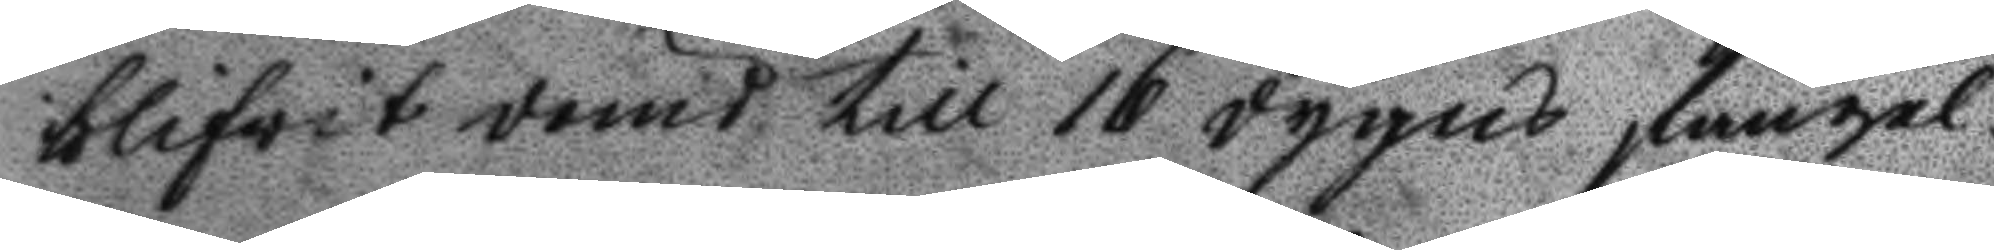blifvit dömd till 16 dygns fängel¬
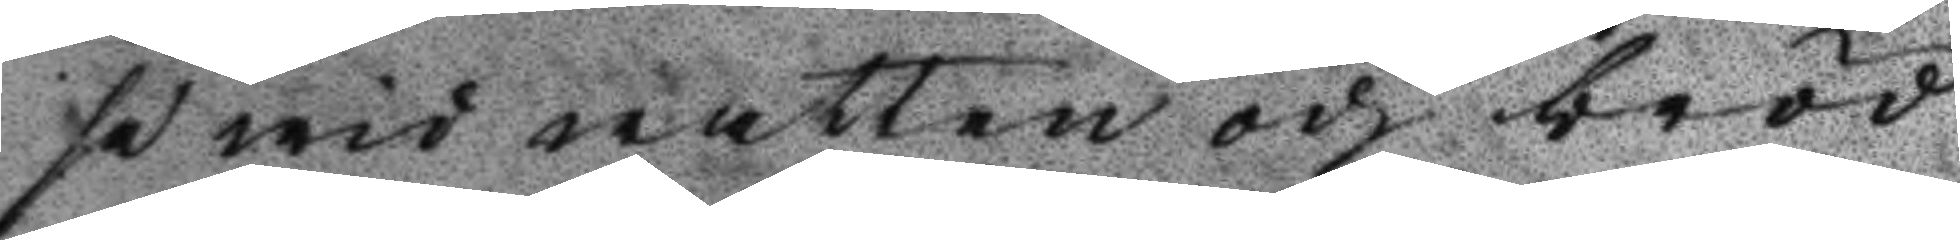se wid watten och bröd
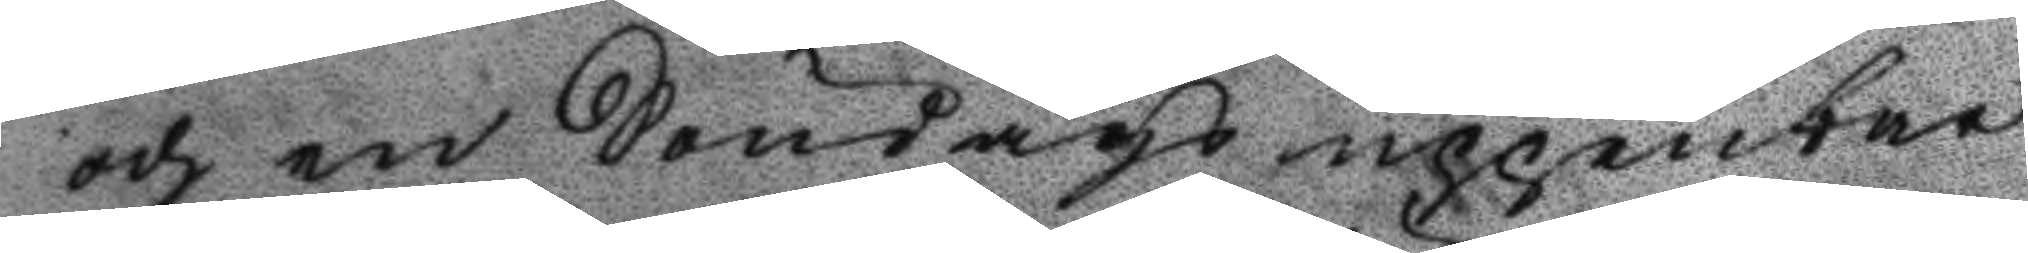och en Söndags uppenbar
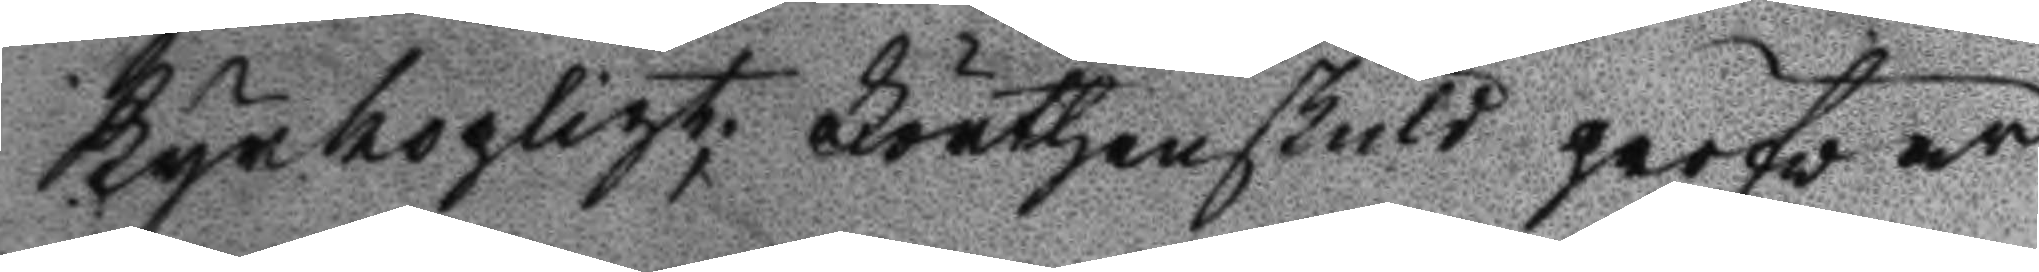Kyrkopligt; Förthenskuld pröfvar
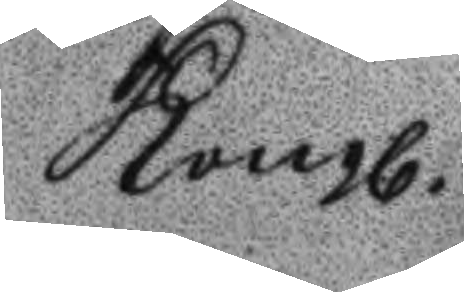Kongl.
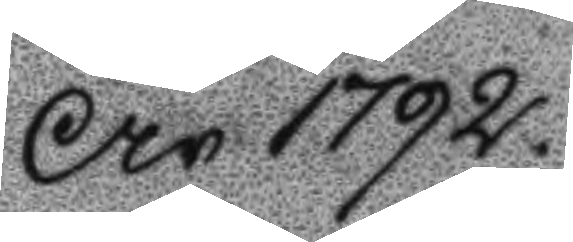År 1792.
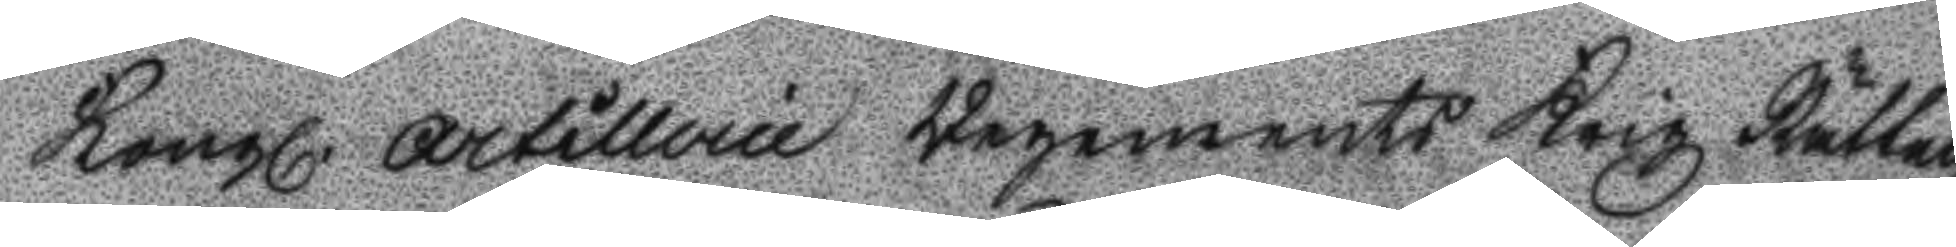Kongl. Artillerie Regements Krigz Rätten
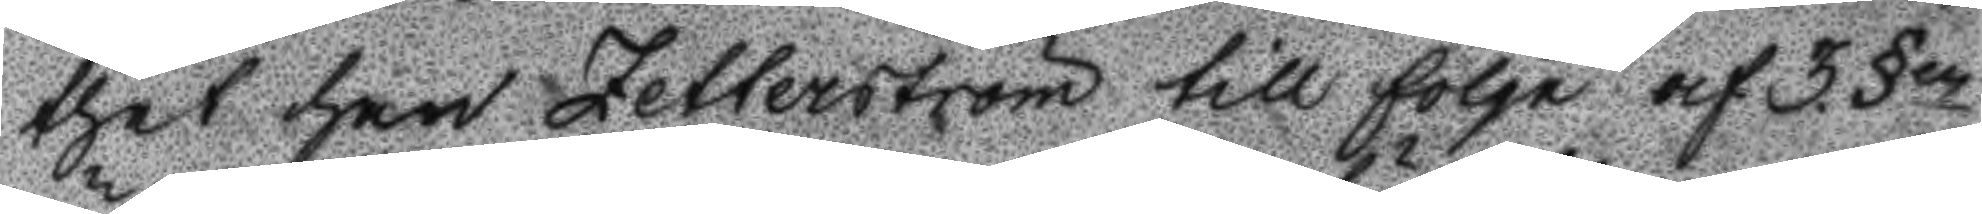thet han Zetterström till följe af 3. §n
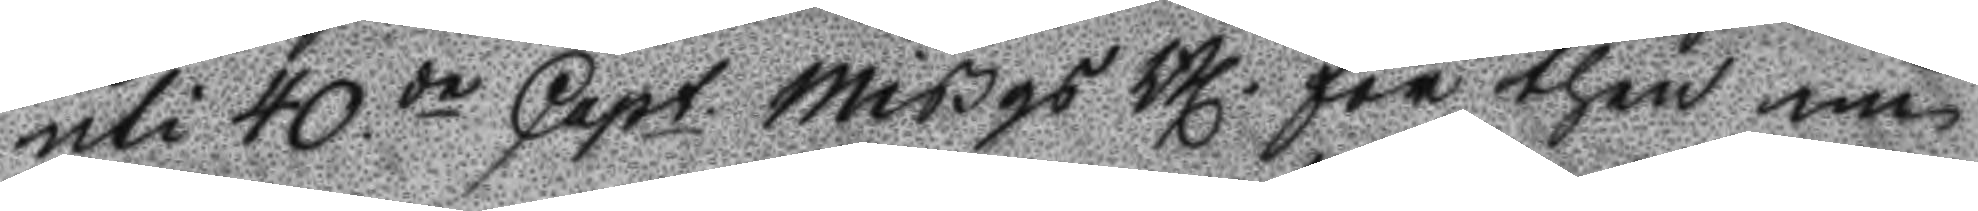uti 40.de Capt. Mißgs Bl. för then nu
